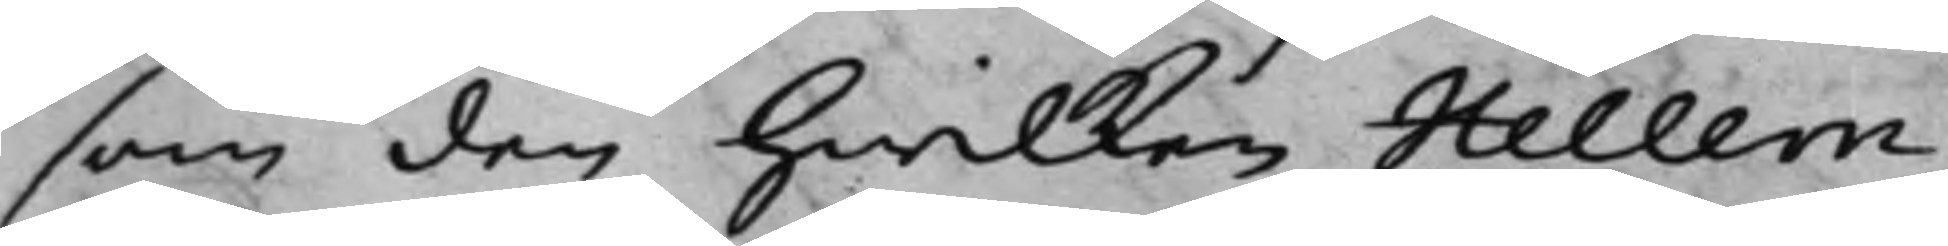som den hwilken Hellem¬
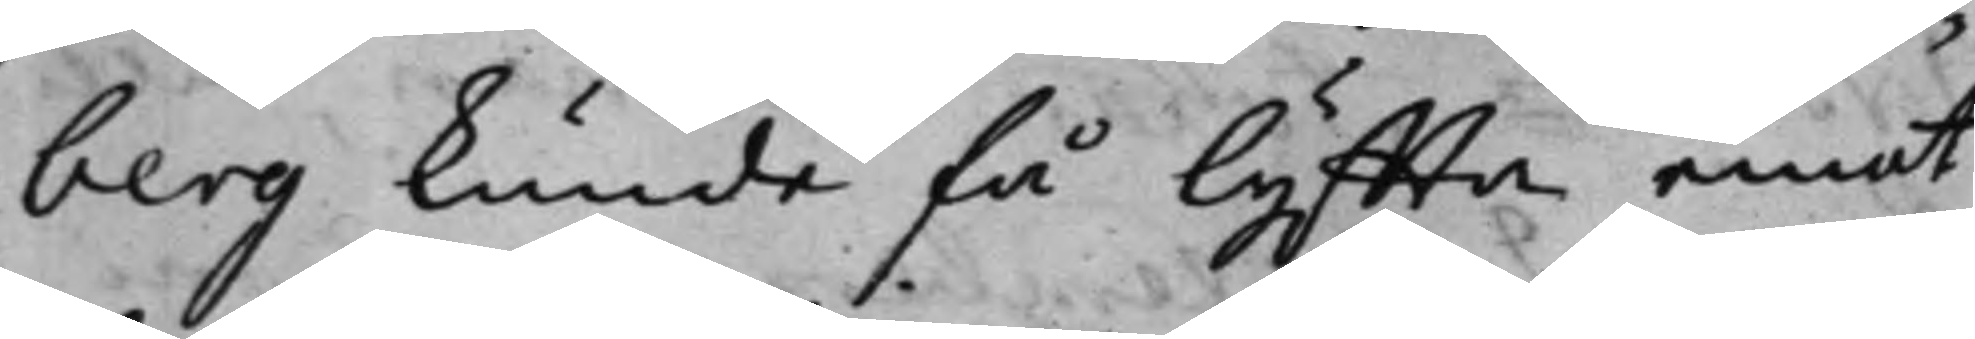berg kunde få lyffta emot
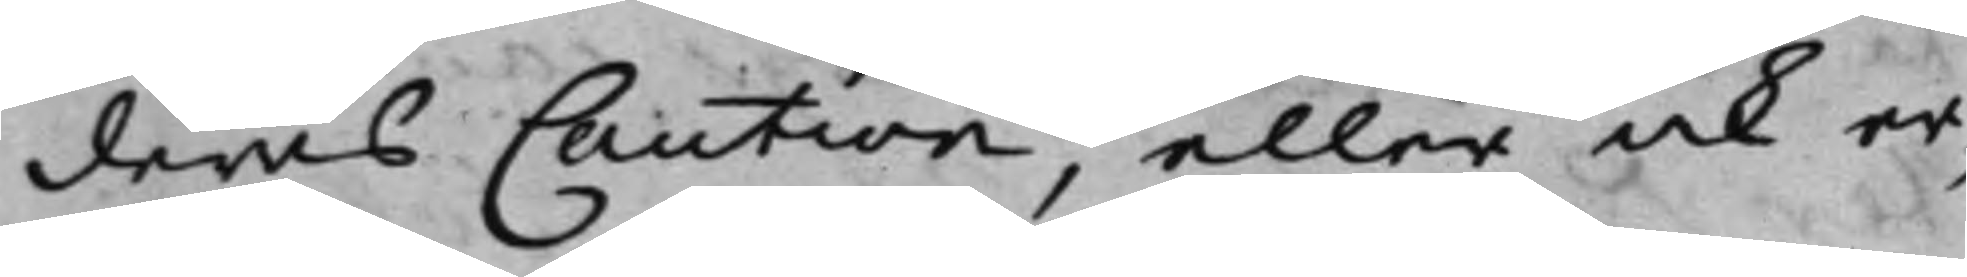deras Caution, eller ock er¬
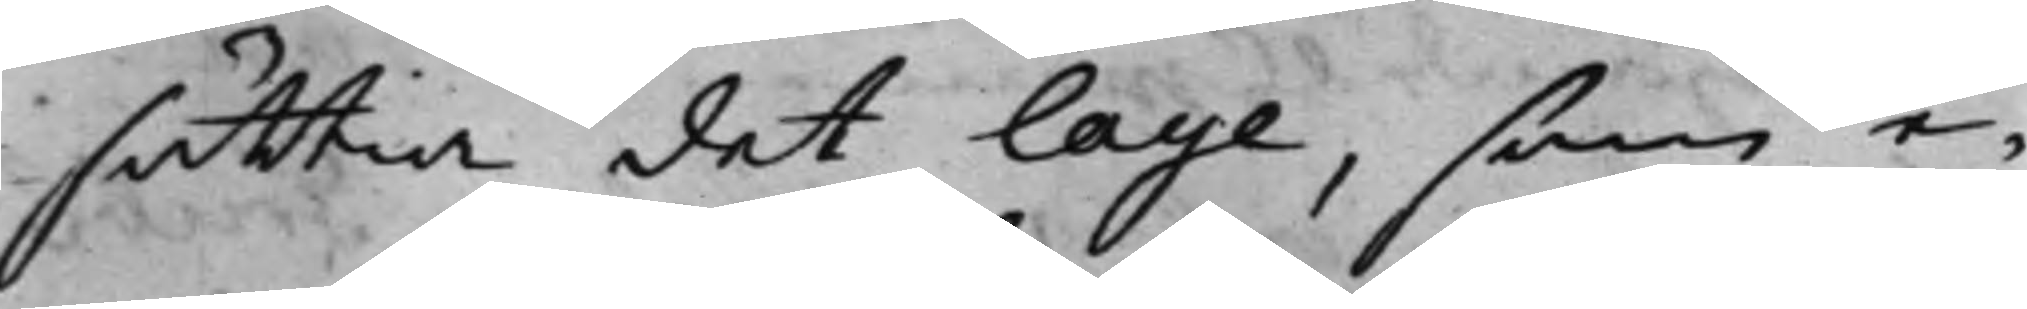sättia det lage, som e¬
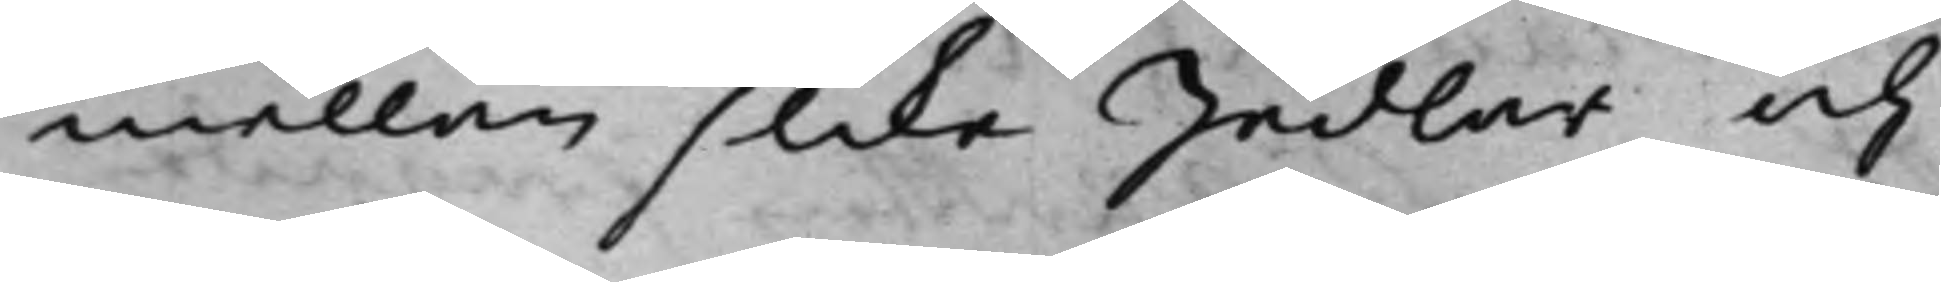mellan slika Sedlar, och
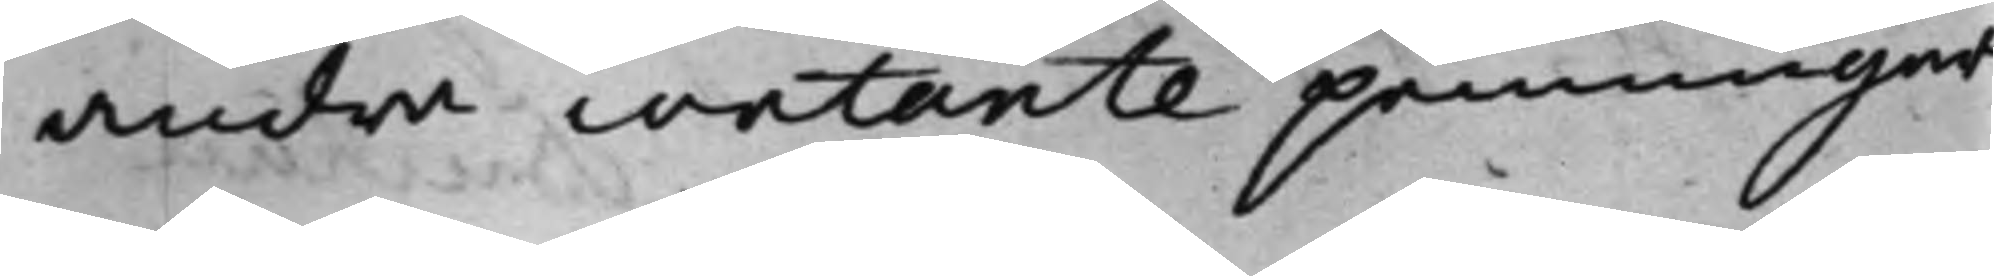andra contante penningar
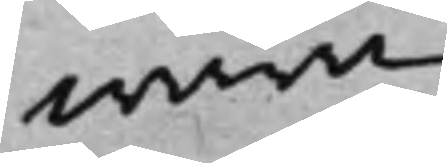wara
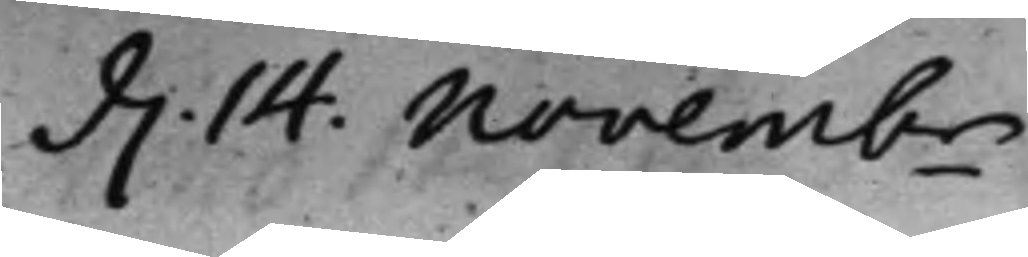d. 14 Novembr
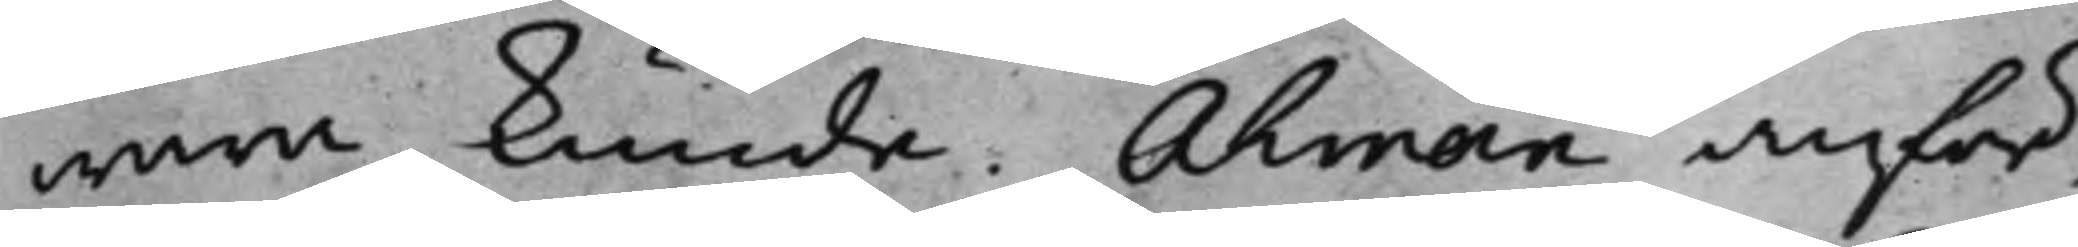wara kunde. Åhman anför¬
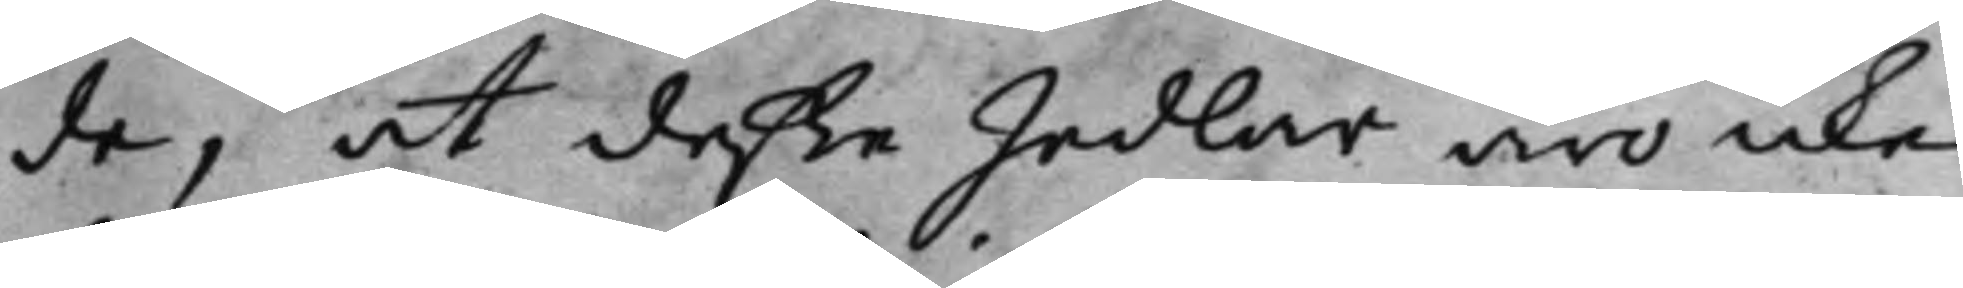de, at deße Sedlar äro icke
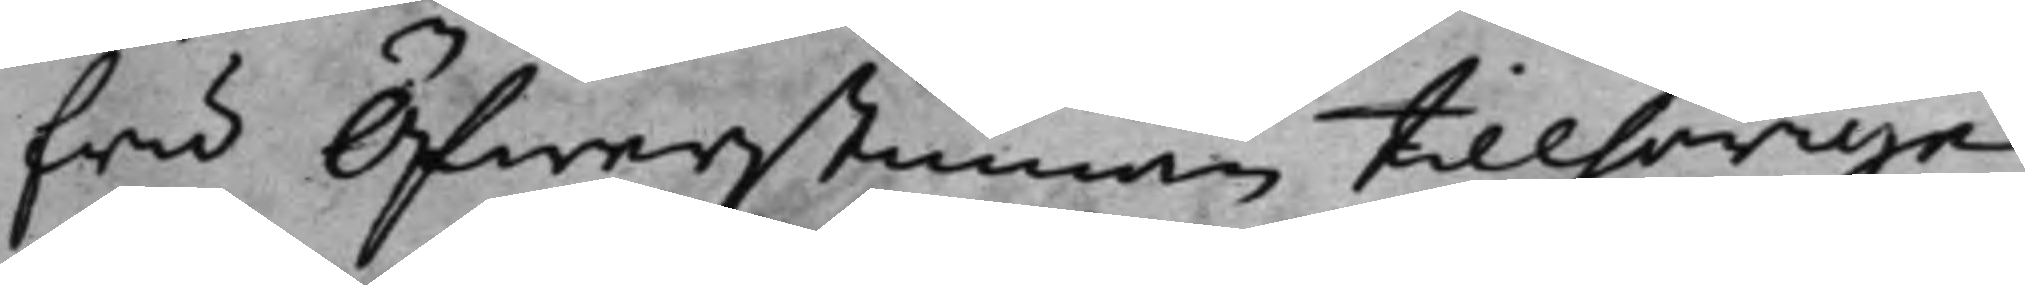fru Öfwerstinnan tillhörige
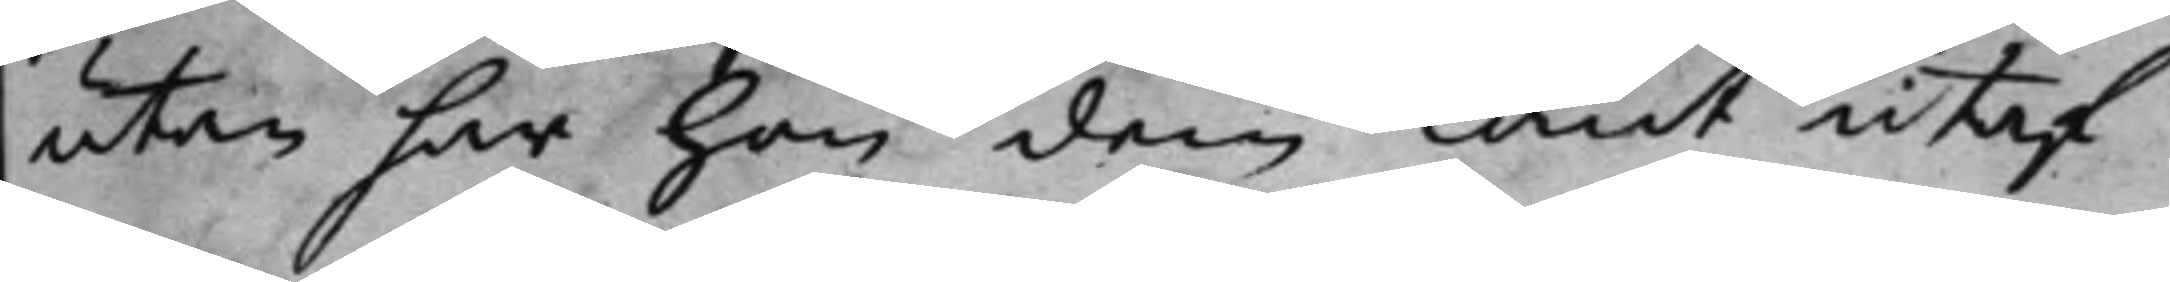utan har han dem lånt utaf
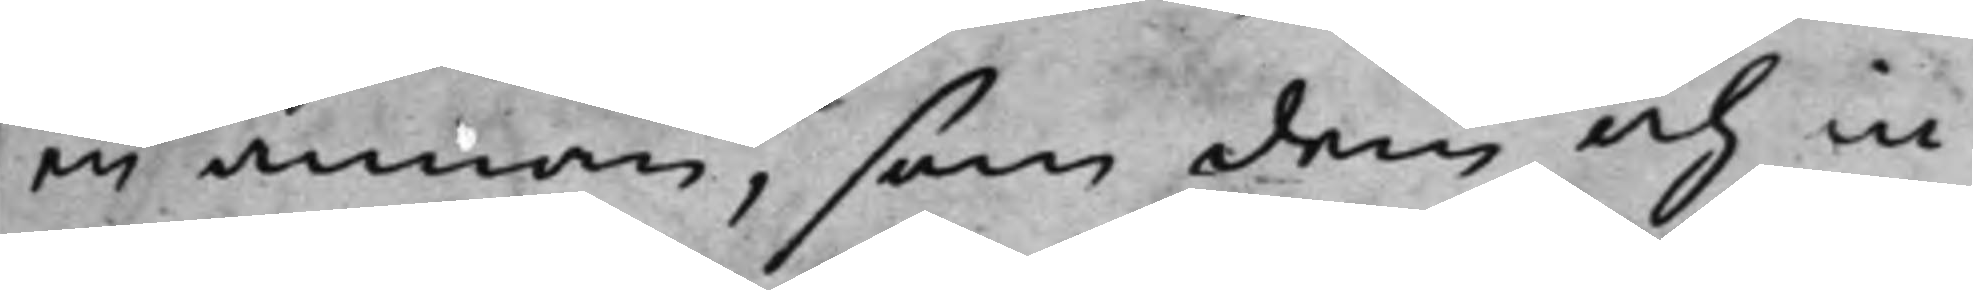en annan, som dem och in¬
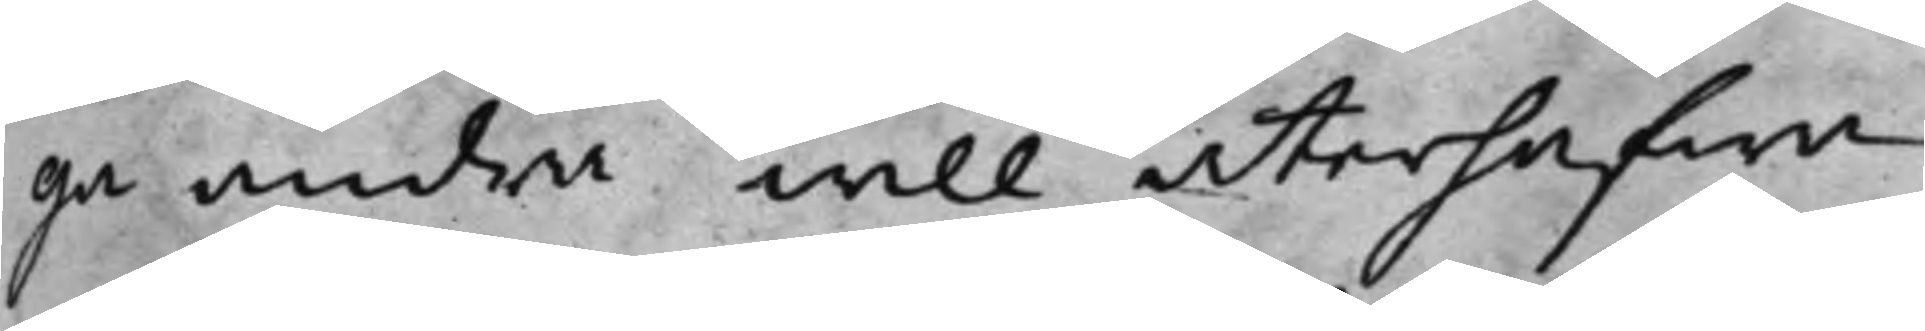ga andra will återhafwa.
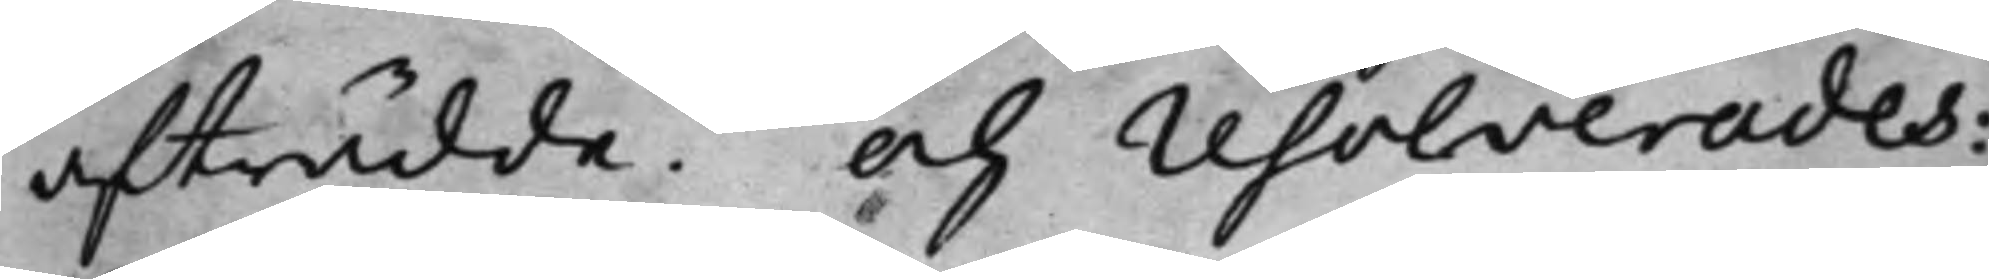afträdde. Och resolverades:
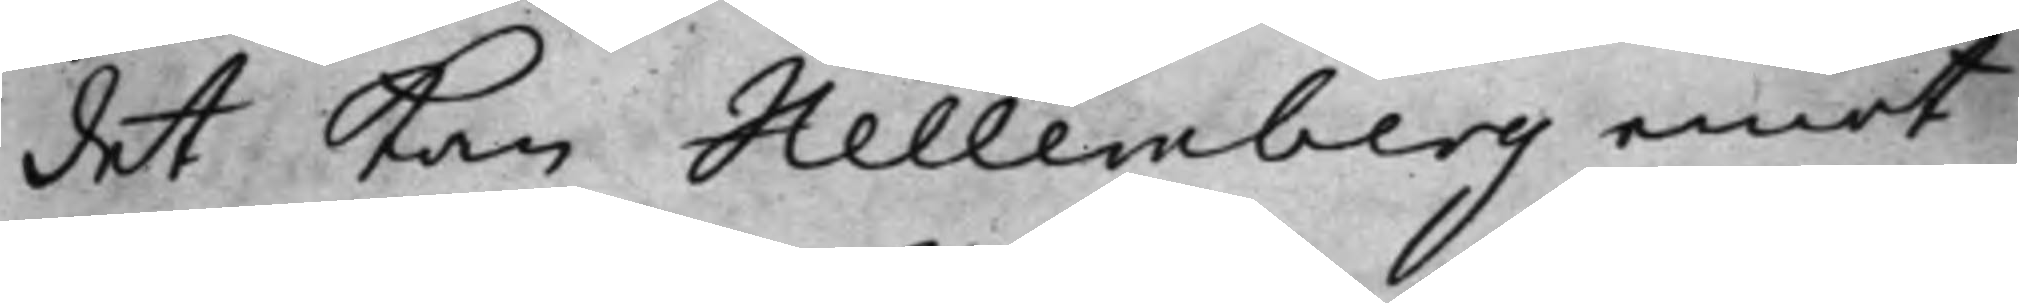det kan Hellemberg emot
